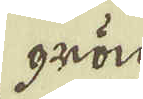grön
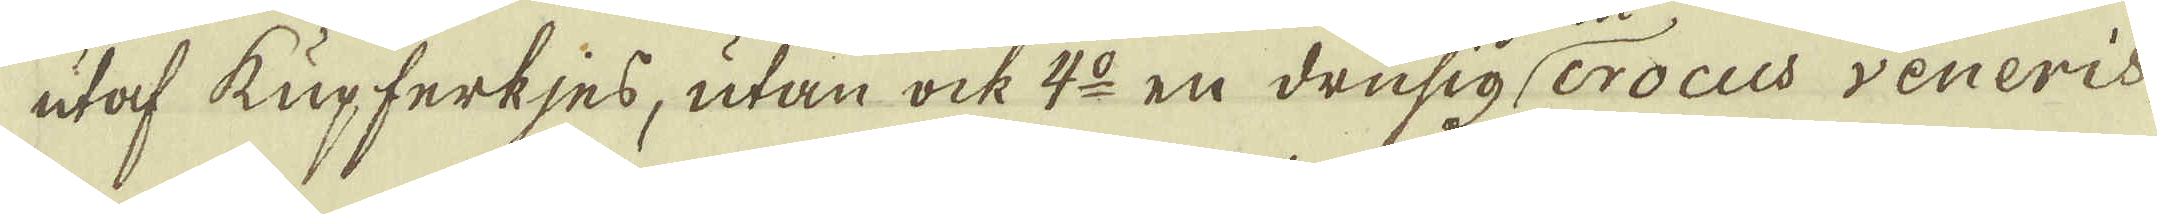utaf kupferkjes, utan ock 4:o en drusig crocus veneris
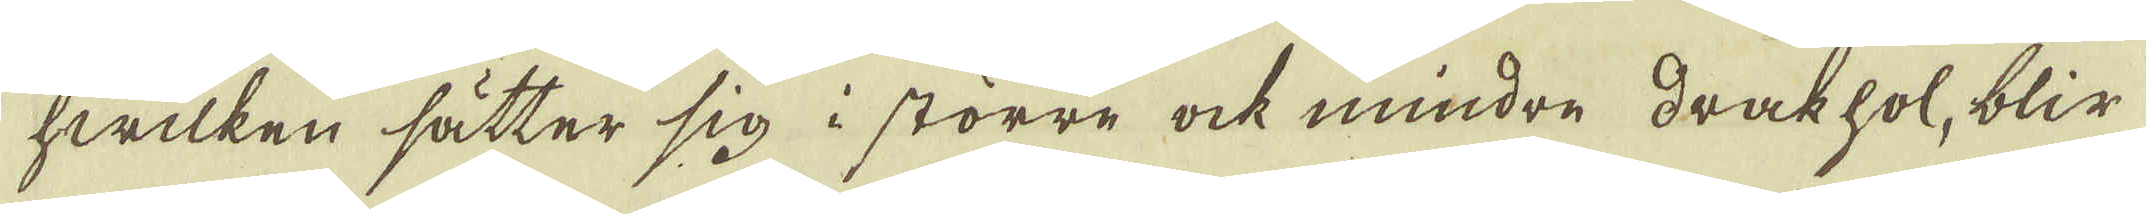hwilken sätter sig i större ock mindre drakhol, blir
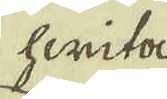hwita
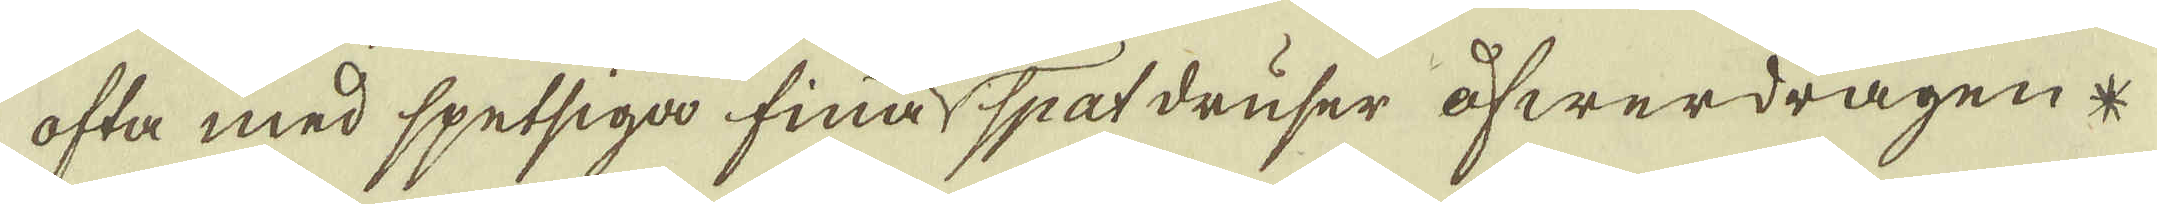ofta med spetsiga fina spatdruser öfwerdragen *
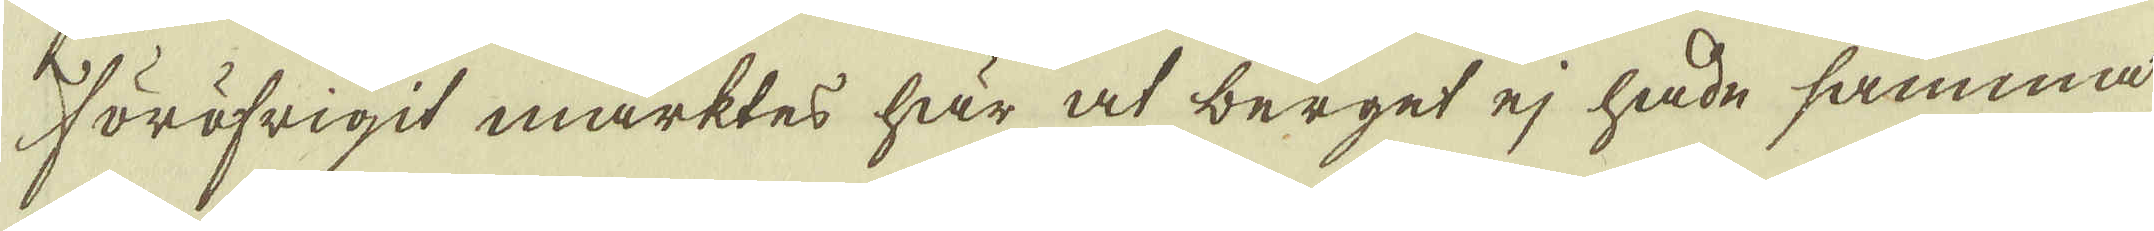Föröfrigit märktes här at berget ej hade samma
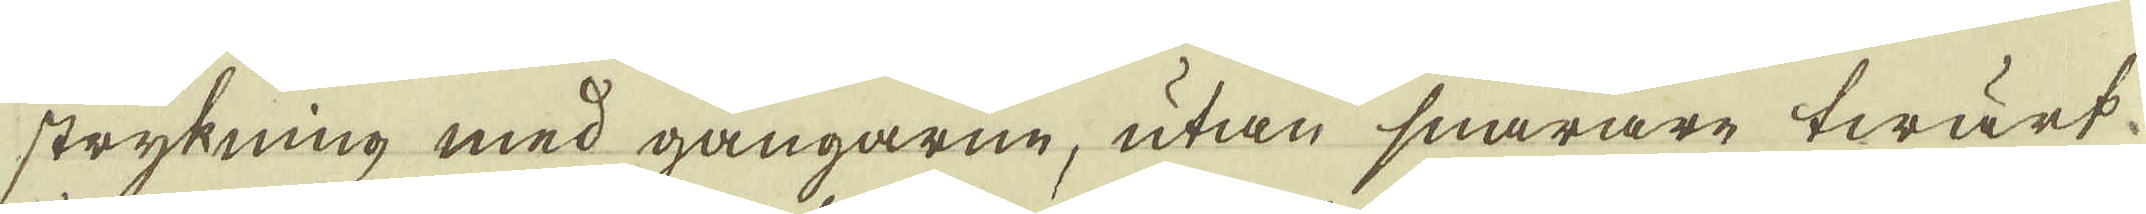strykning med gångarne, utan snarare twärt-
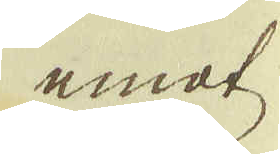emot
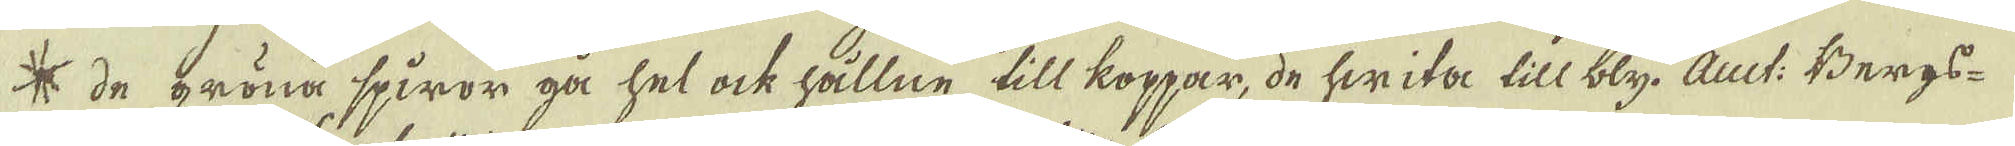* de bröna spiror gå hel ock hållne till koppar, de hwita till bly, Auct: Bergs-
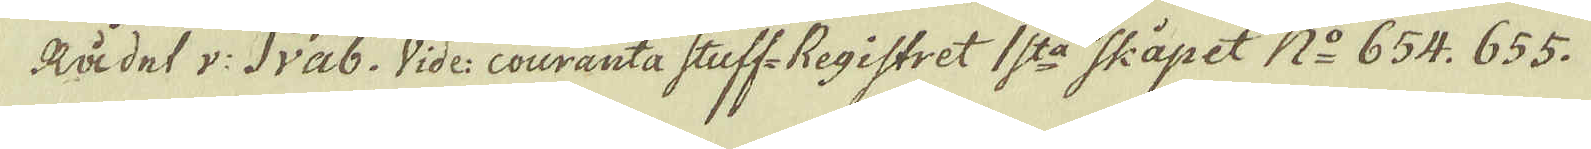Rådet v: Svab: Vide: couranta stuff-Registret 1:sta Skåpet N:o 654. 655.
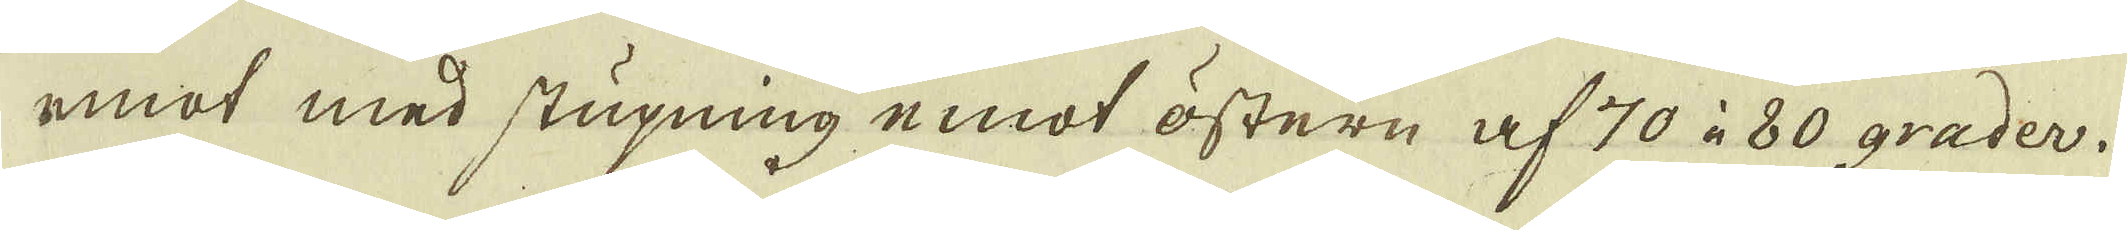emot med stupning emot östern af 70 à 80 grader.
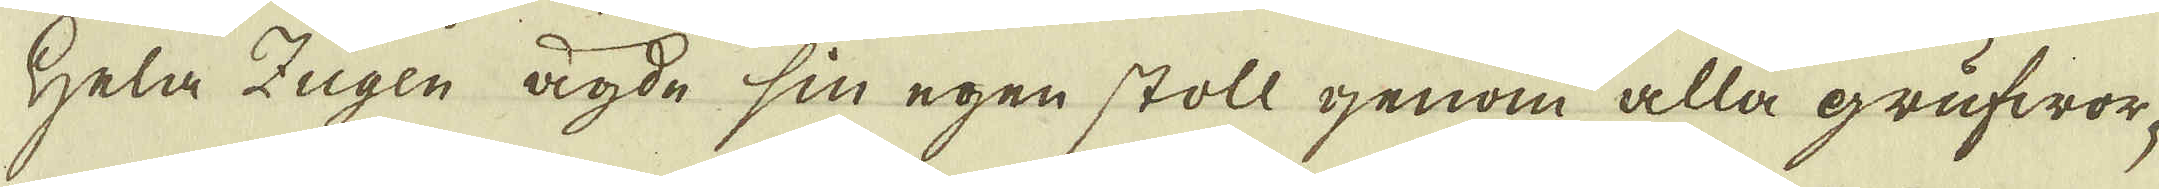Hela Zugen ägde sin egen stoll genom alla grufwor-
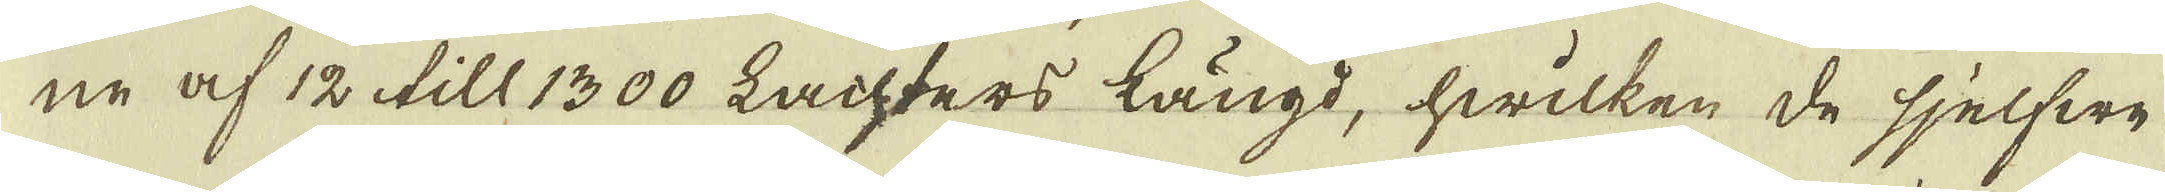ne af 12 till 1300 Lachters längd, hwilken de sjelfwe
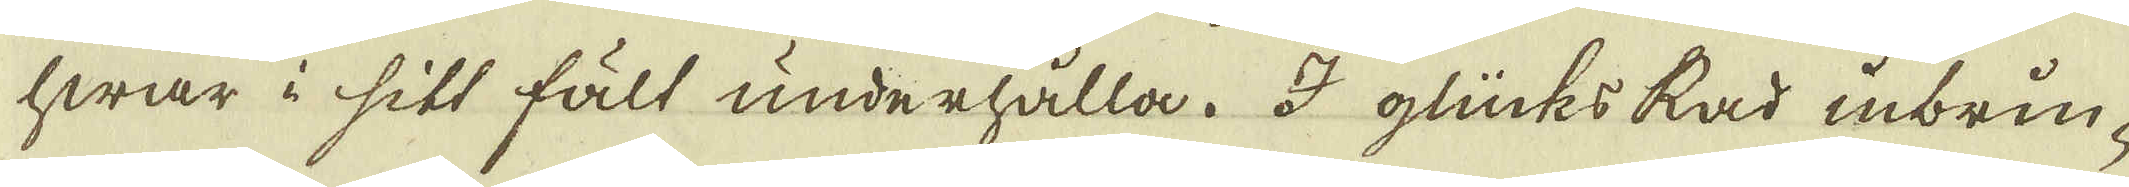hwar i sitt fält underhålla. I glücks Rad inbrin-
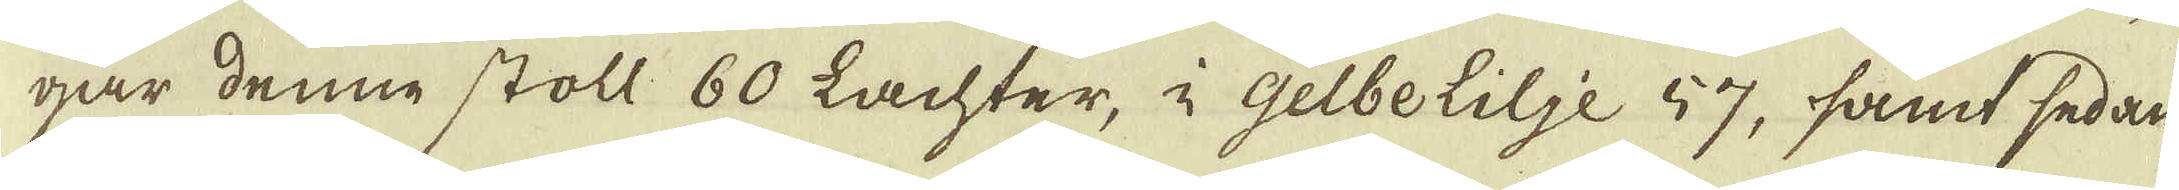gar denne stoll 60 Lachter, i gelbelilje 57, samt sedan
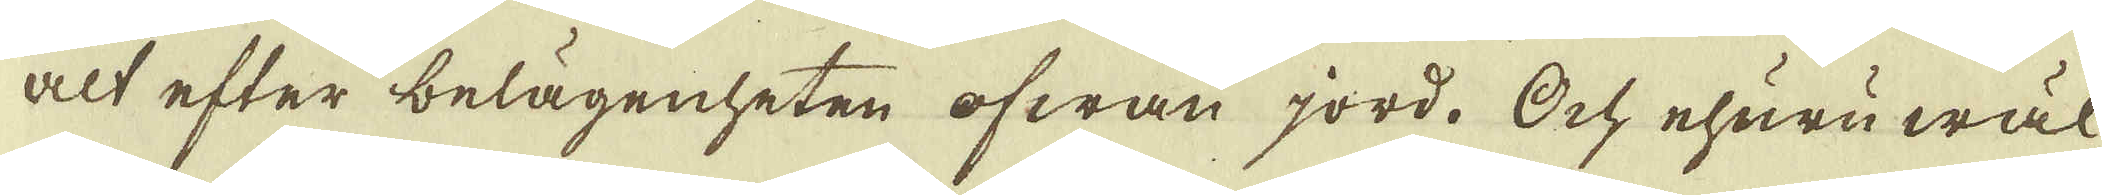alt efter belägenheten ofwan jord. Och ehuruwäl
